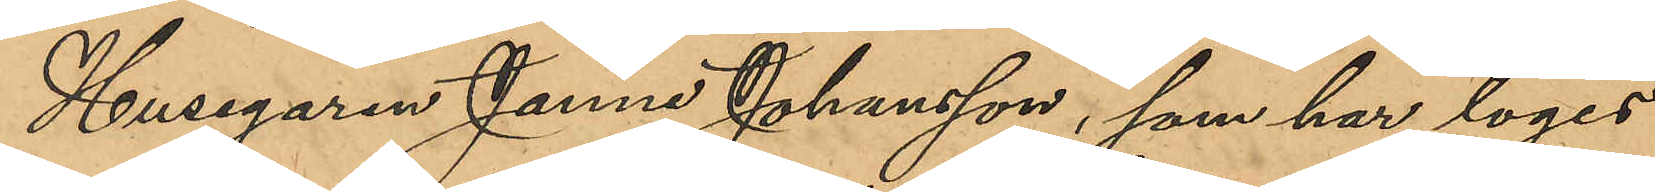Husegaren Janne Johansson, som har logis 
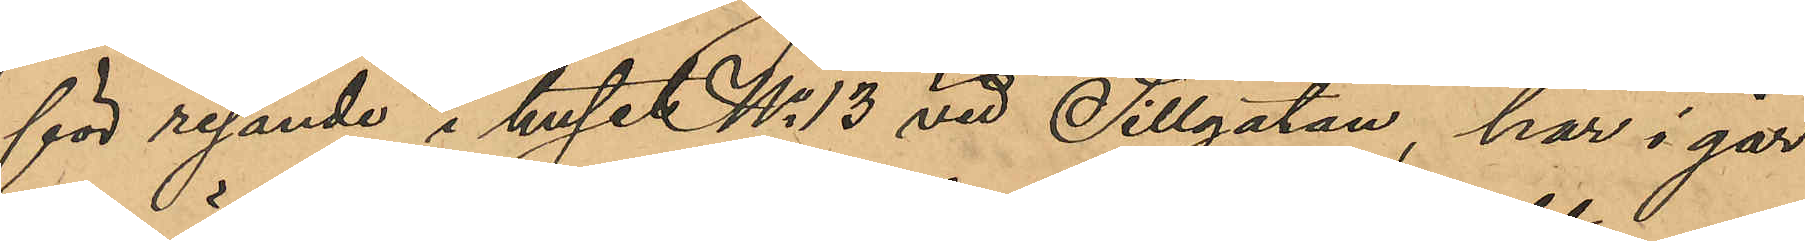för resande i huset No 13 vid Sillgatan, har i går
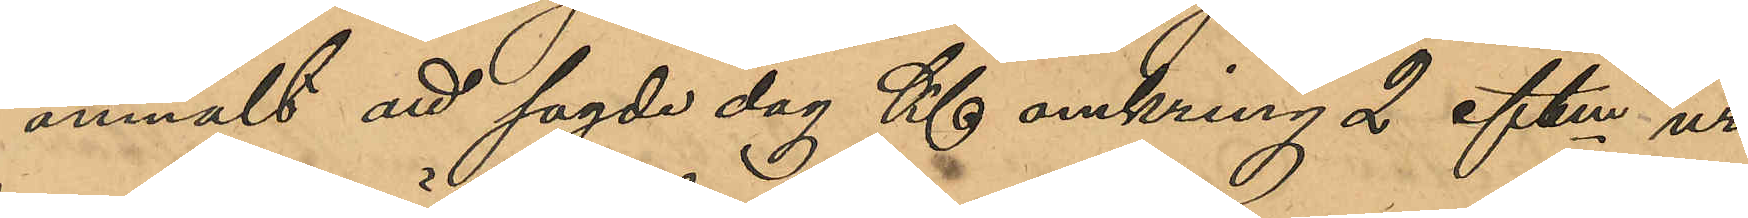anmält att sagda dag Kl omkring 2 eftm ur
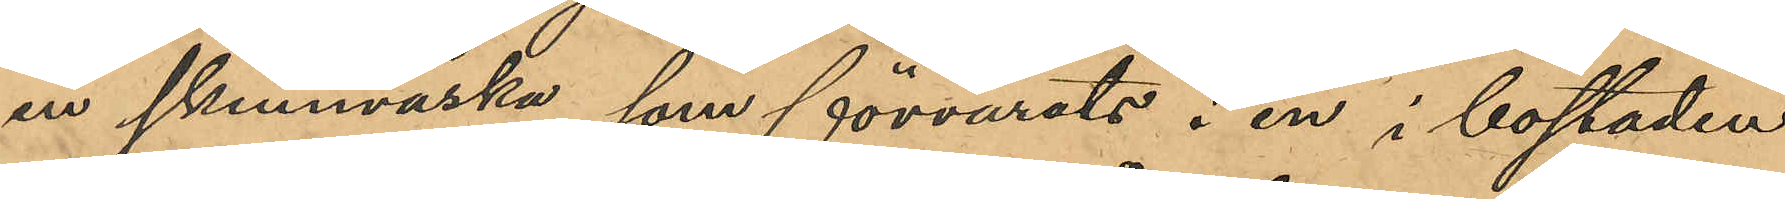en skinnväska, som förvarats i en i bostaden
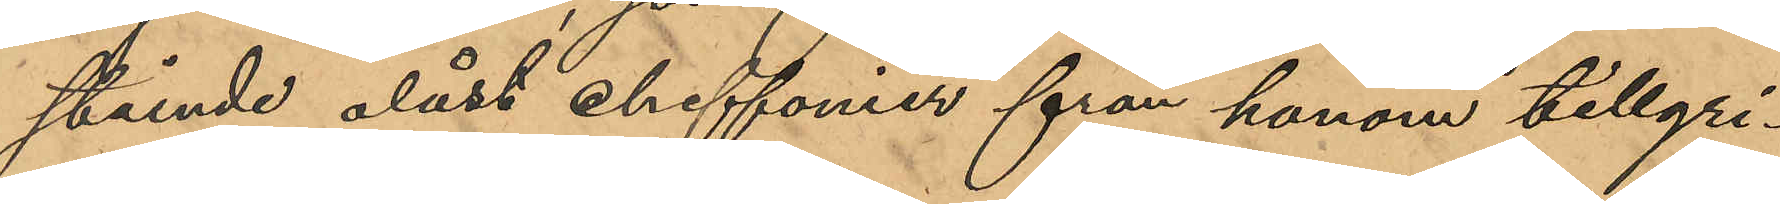stående olåst chiffonier från honom tillgri¬
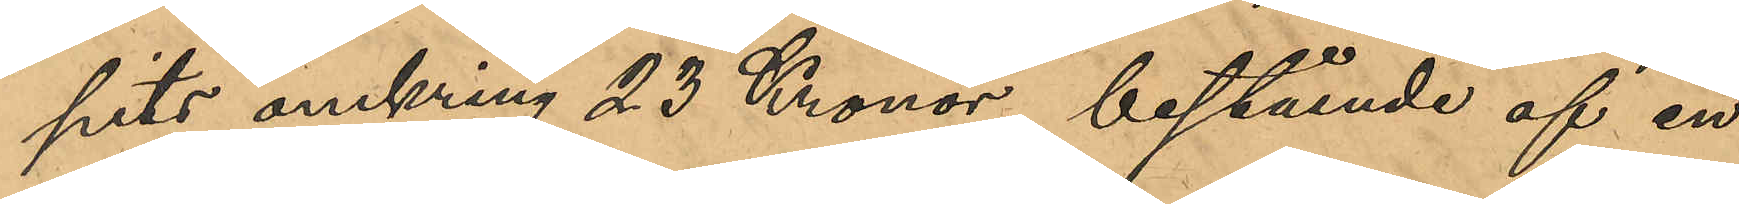pits omkring 23 Kronor, bestående af en
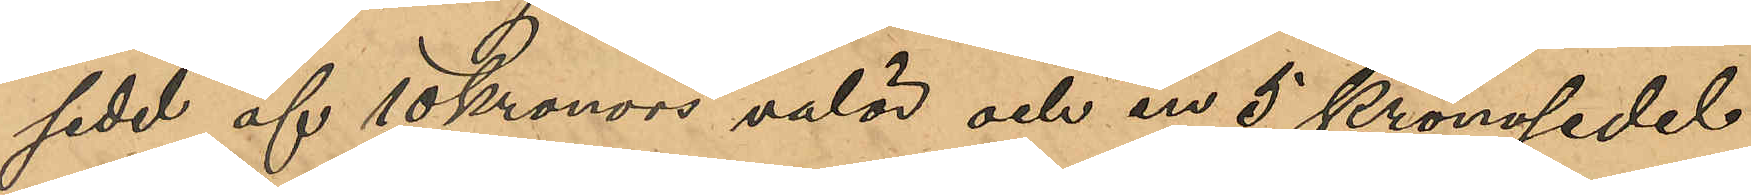sedel af 10 kronors valör och en 5 kronosedel
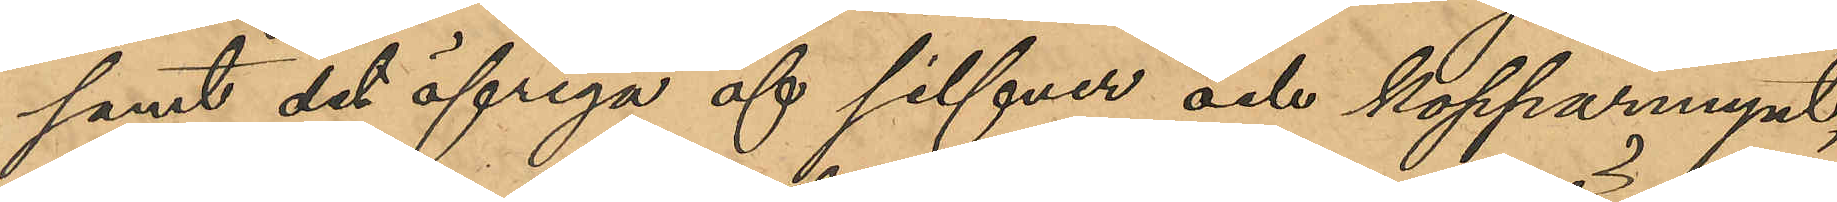samt det öfriga af silfver och kopparmynt, 
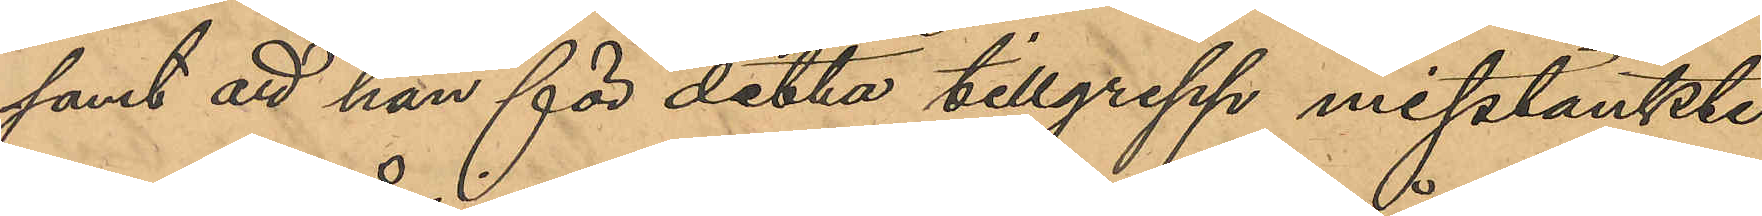samt att han för detta tillgrepp misstänkte
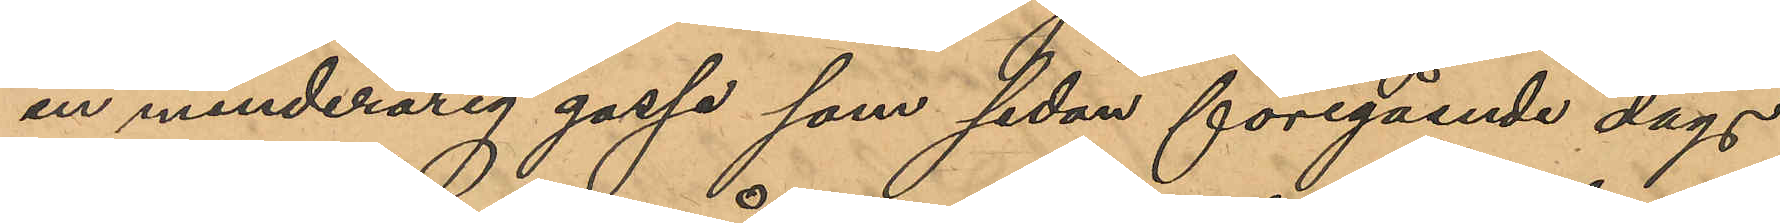en minderårig gosse som sedan föregående dags
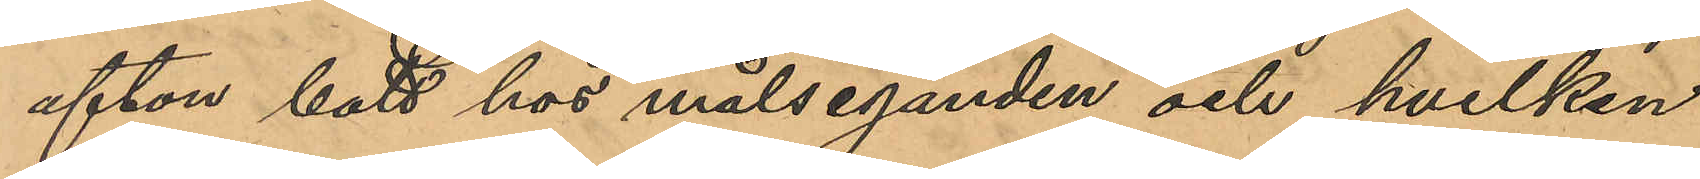afton bott hos målseganden och hvilken
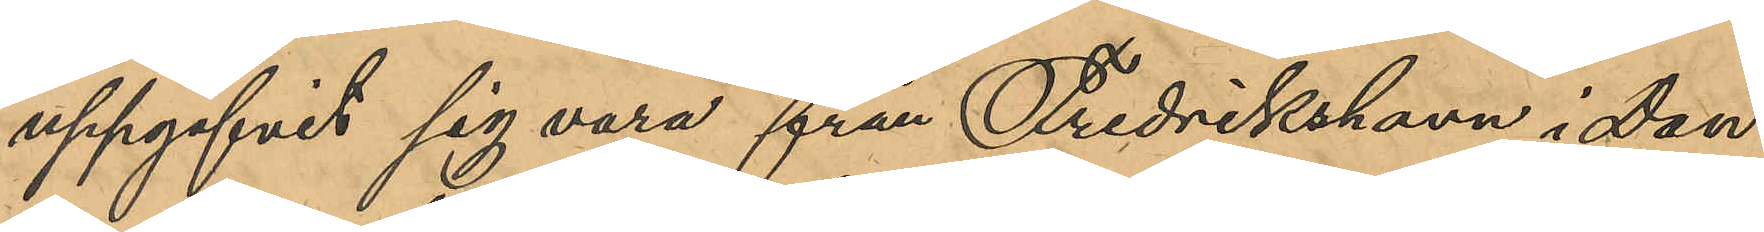uppgifvit sig vara från Fredrikshavn i Dan¬
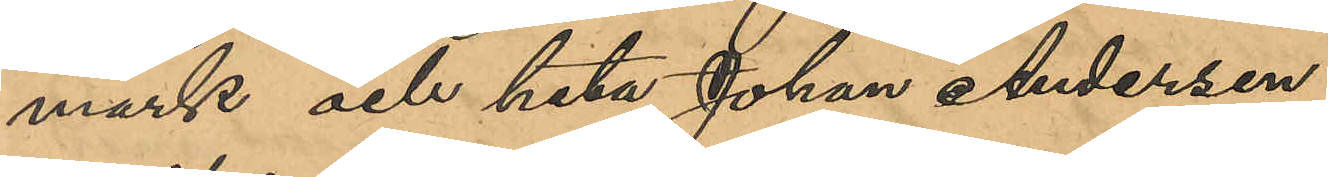mark och heta Johan Andersen.
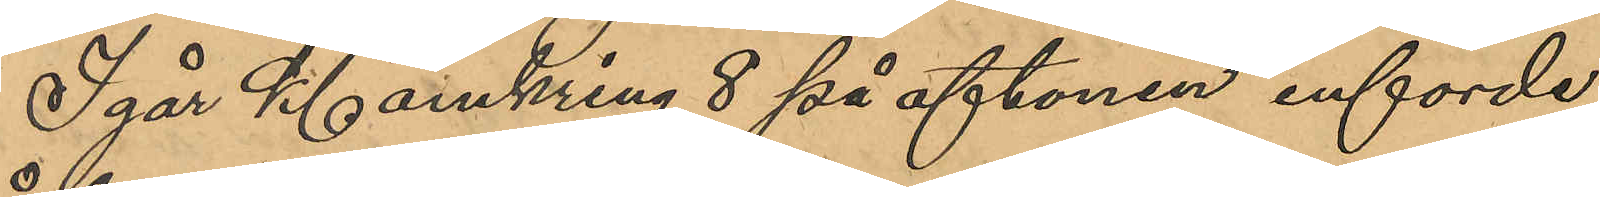Igår Kl omkring 8 på aftonen införde
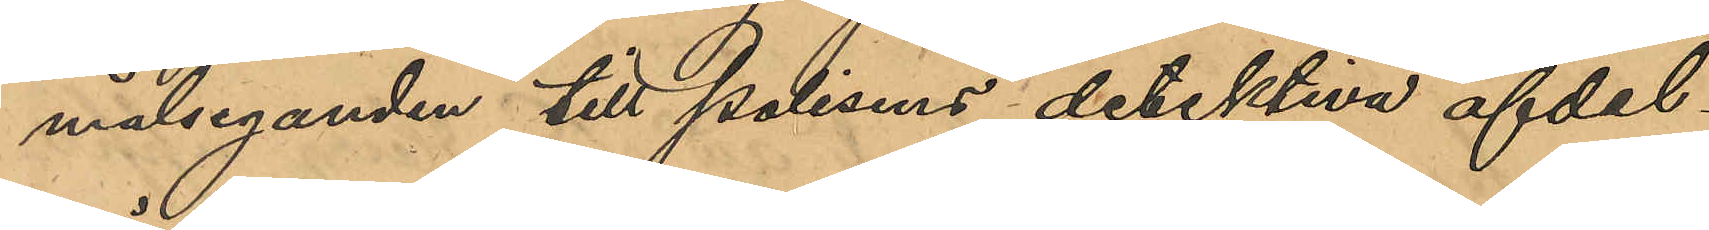målseganden till polisens detektiva afdel¬
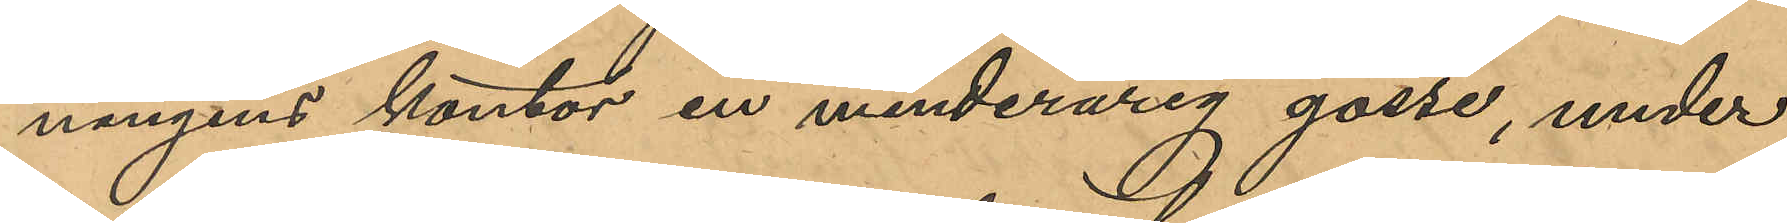ningens kontor en minderårig gosse, under
